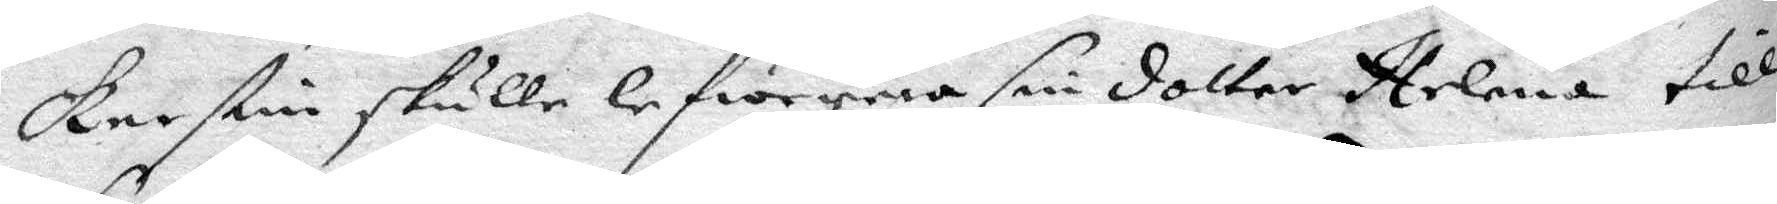Kerstin skulle lefwerera sin dotter Helena till
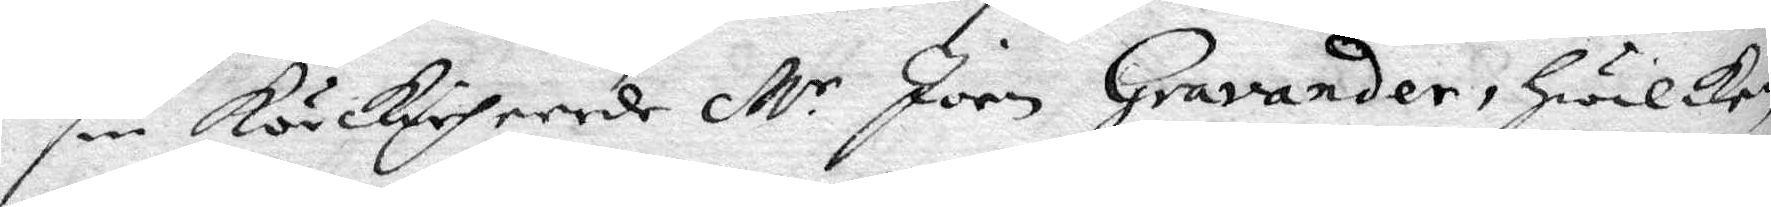sin körkioheerde M.r Joen Gravander, Hwilken
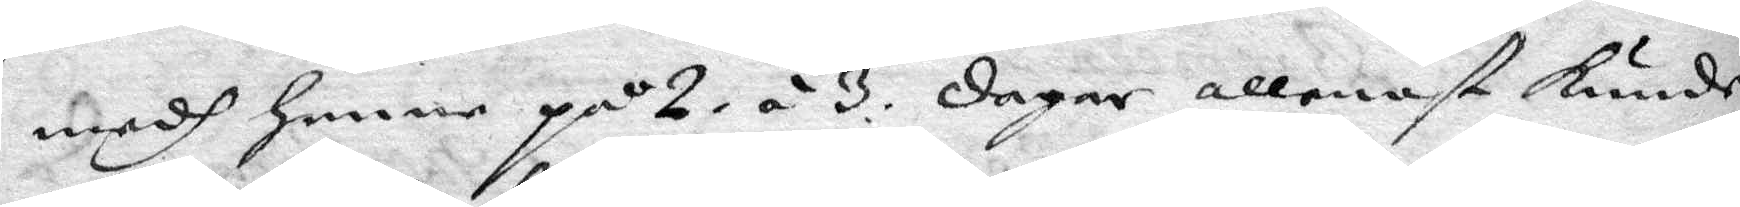medh henne på 2. á 3. dagar allenast kunde
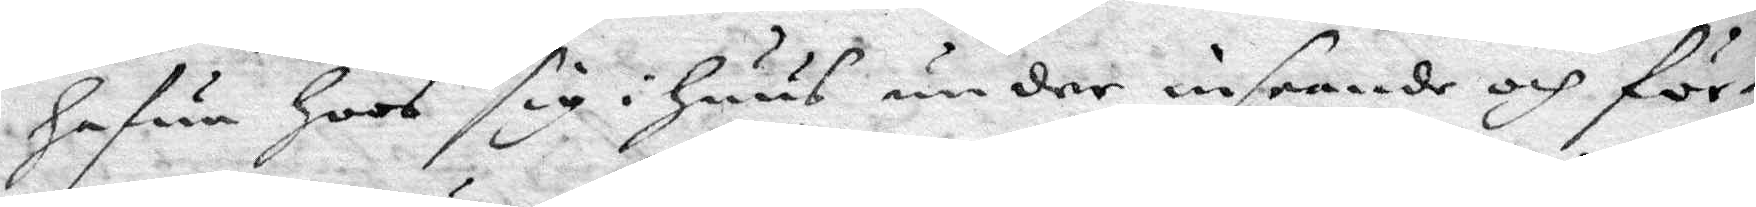Hafua Hoos sig i Huus, under inseende och för¬
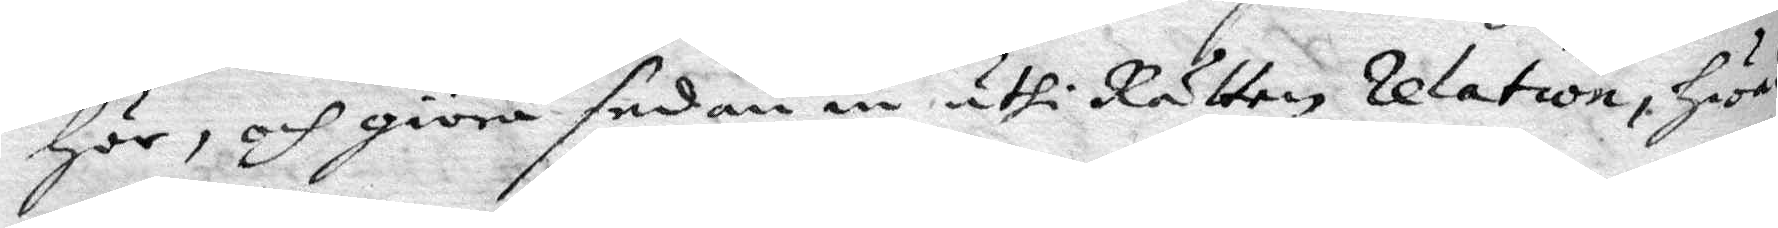hör, och giöra sedan in uthi Rätten relation, hwad
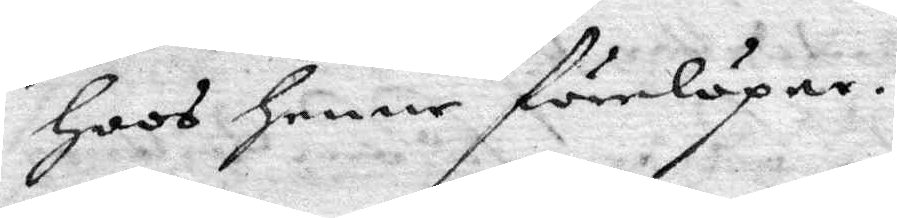Hoos henne förelöpar.
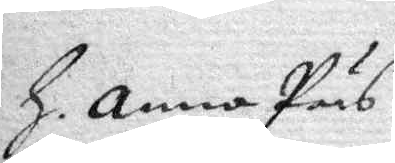H. Anna Pärs
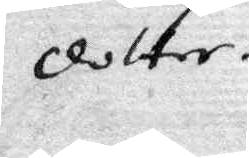dotter.
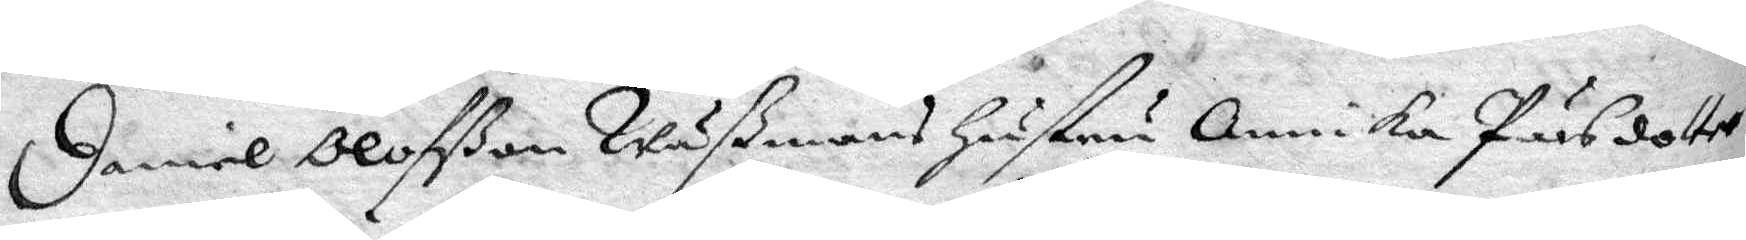Daniel Olofßonn Wäßmans hustru Annika Pärsdotter
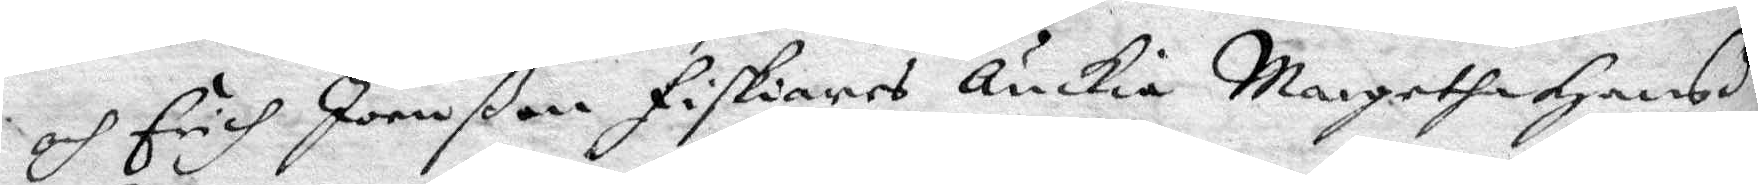och Erich Joenßon Fiskiares Änkia Margetha Hansdr
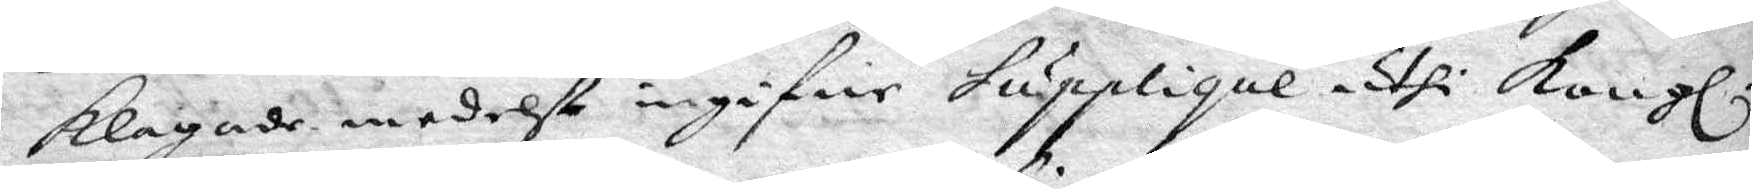klagade medelst ingifne Supplique uthi Kongl.
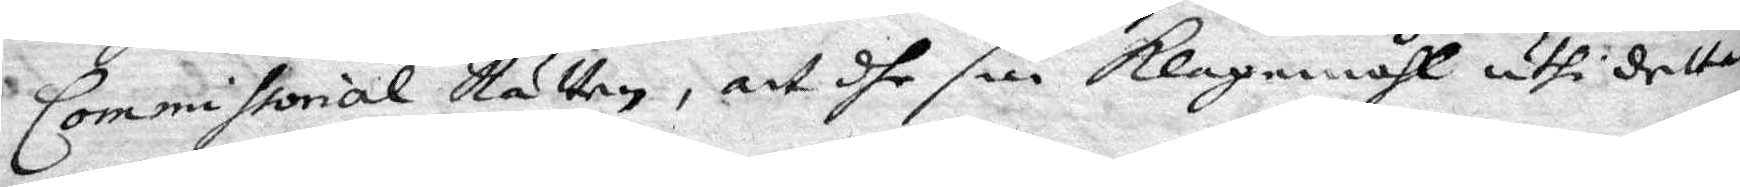Commissorial Rätten, att dhe sin klagomåhl uthi detta
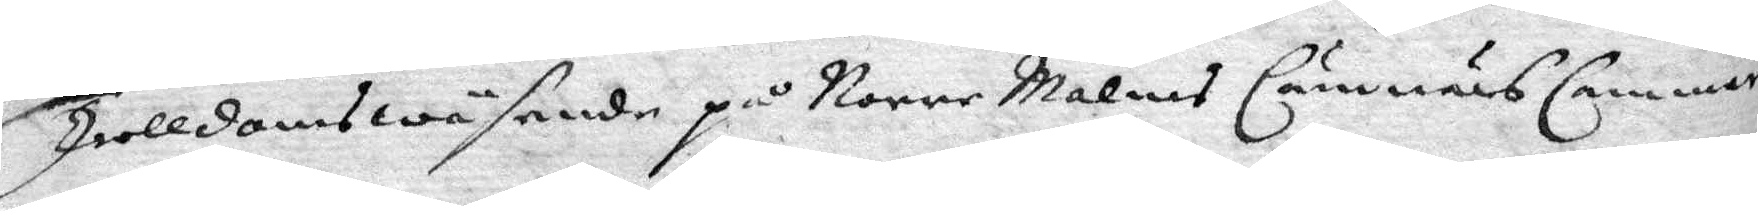Trolldomswäsende på Norre Malms Cämnärs Cammar
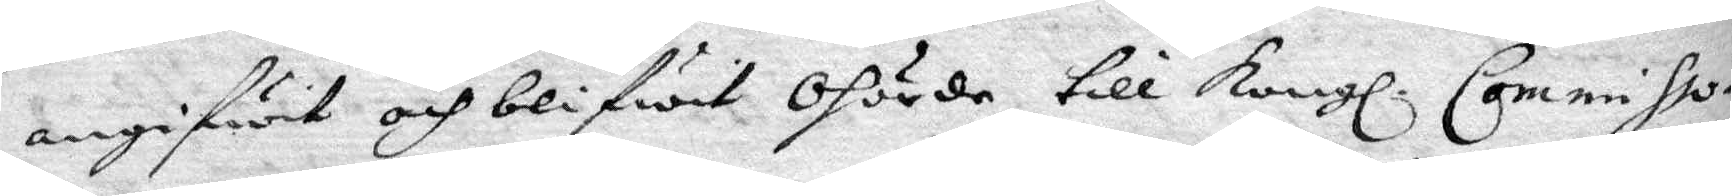angifwit och blifwit ohörde till Kongl. Commissio¬
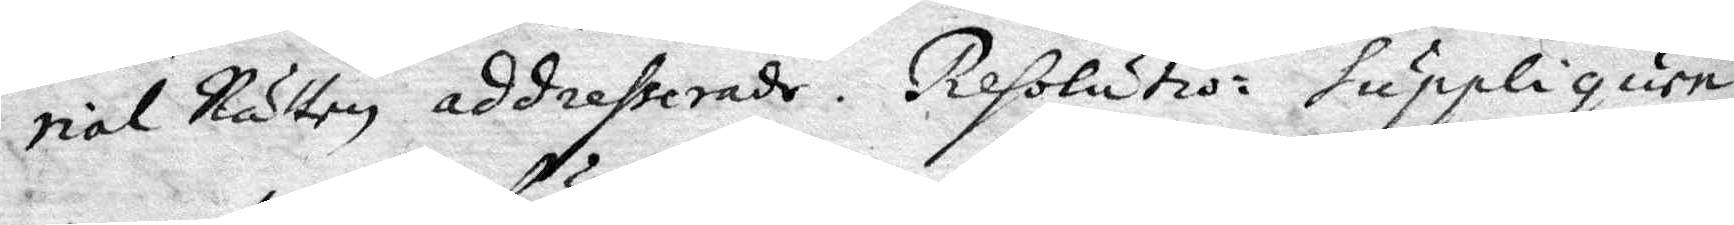rial Rätten addresserade. Resolutio: Suppliquen
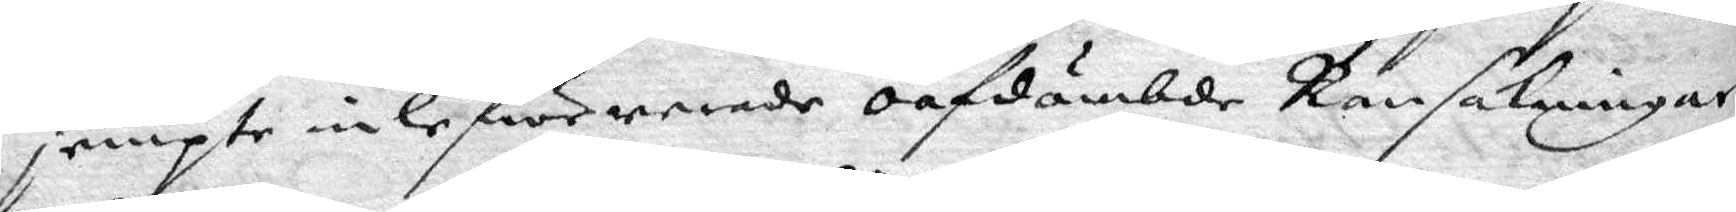jempte inlefwererade oafdömbde Ransakningar
